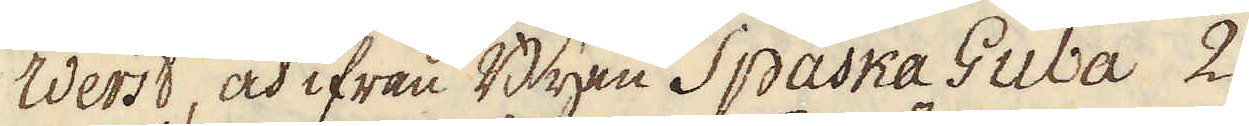Werst, och ifrån Byen Spaska Guba 2.
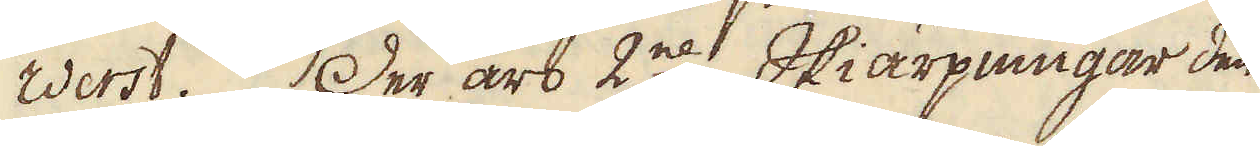Werst. Der äro 2ne Skiärpningar den
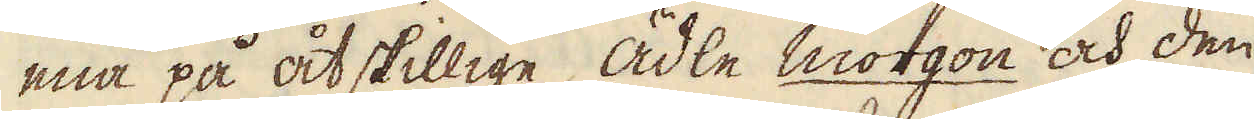ena på åtskillige ädle morgon och den
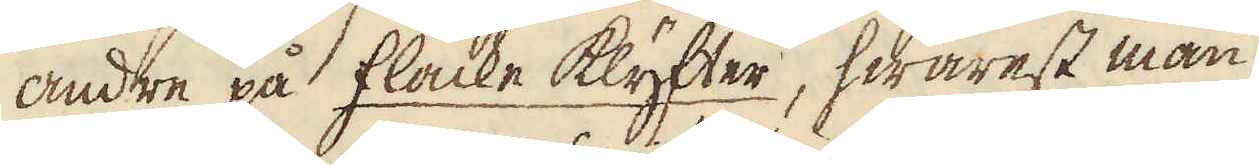andre på flacke klyfter, hwarest man
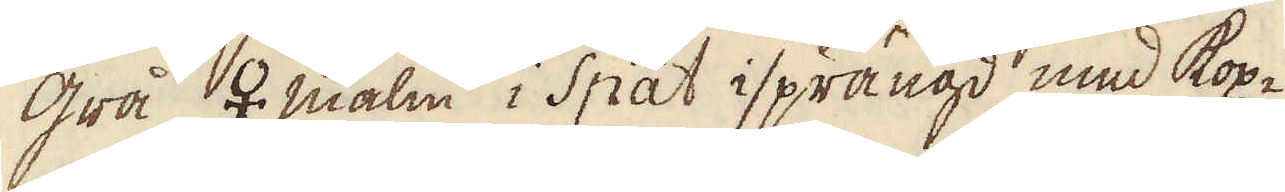grå ♀ malm i Spat isprängd med kop-
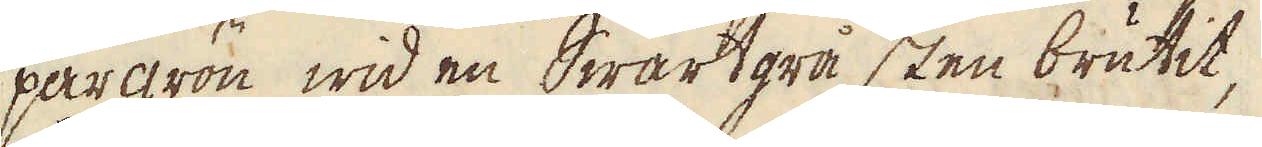pargrön, wid en Swartgrå sten brutit,
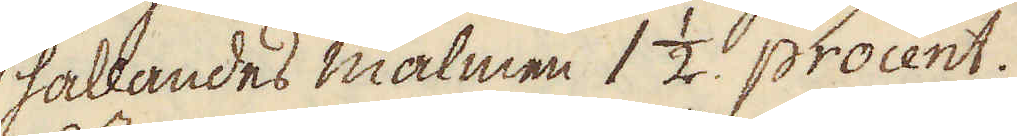hållandes malmen 1 1/2 procent.
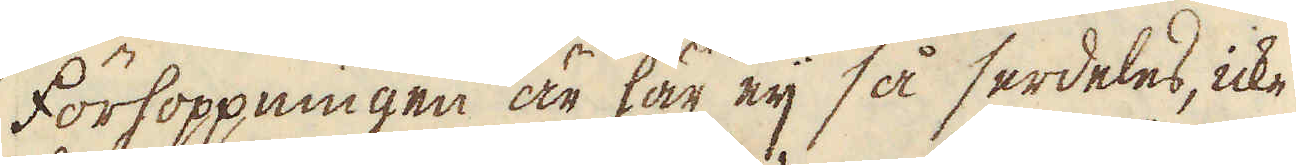Förhoppningen är här eij så serdeles, icke
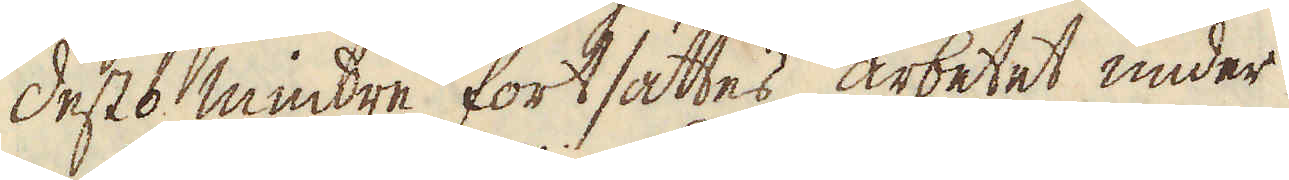desto mindre fortsättes arbetet under
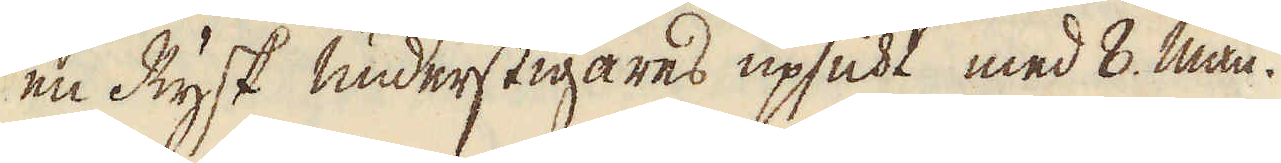en Rysk understigares upsicht, med 8. man.
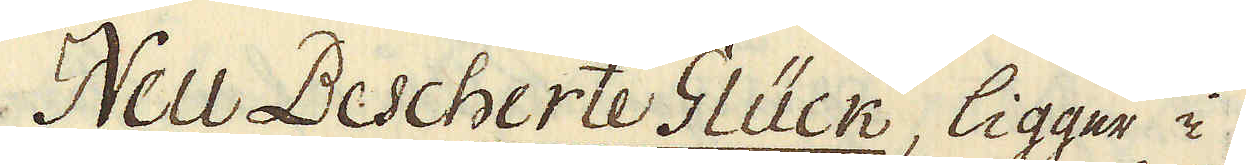Neu Bescherte Glück, ligger i
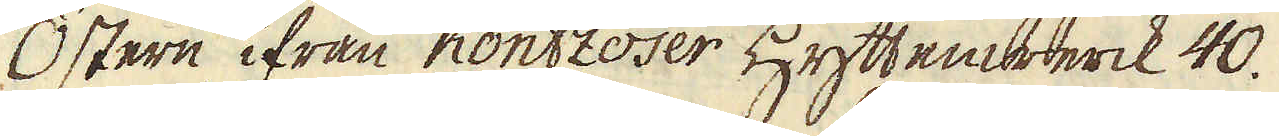Östern ifrån Kontzoser Hyttenwerck 40.
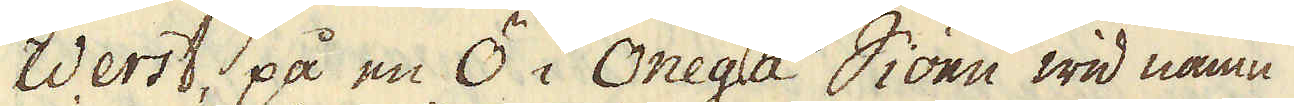Werst, på en Ö i Onega Siöen wid namn
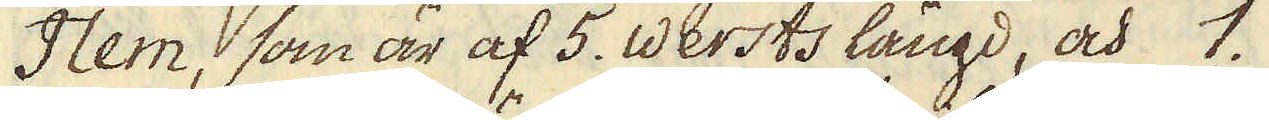Ilem, som är af 5. Wersts längd, och 1.
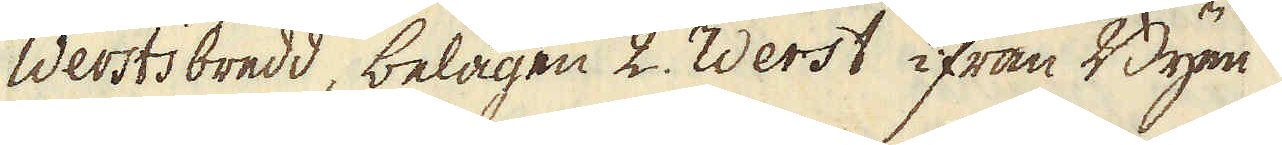Wersts bredd, belägen 2. Werst ifrån Byen
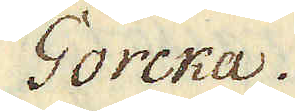Gorcka.
